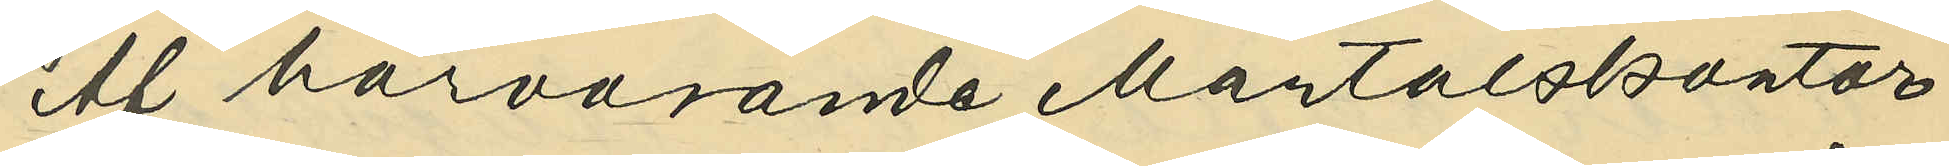Af härvarande Mantalskontor
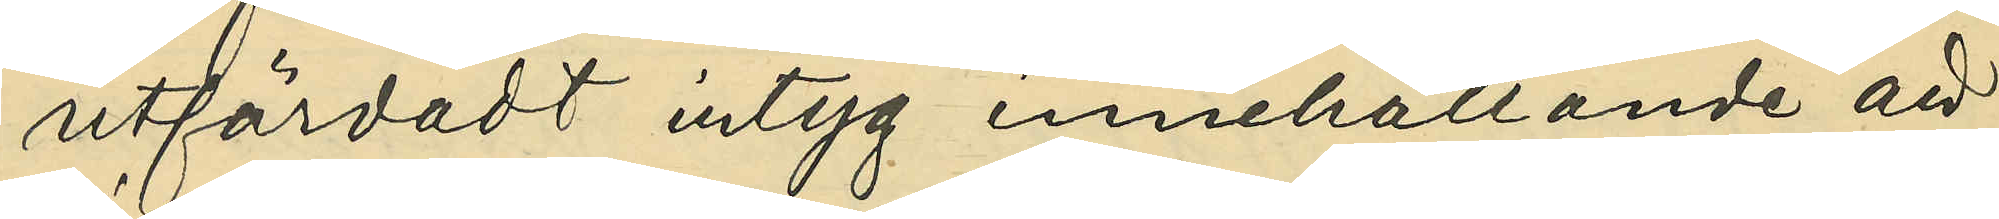utfärdadt intyg innehållande att
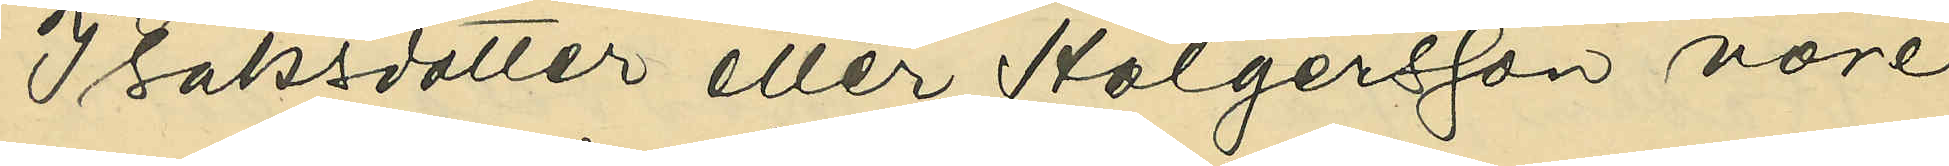Isaksdotter eller Holgersson vore
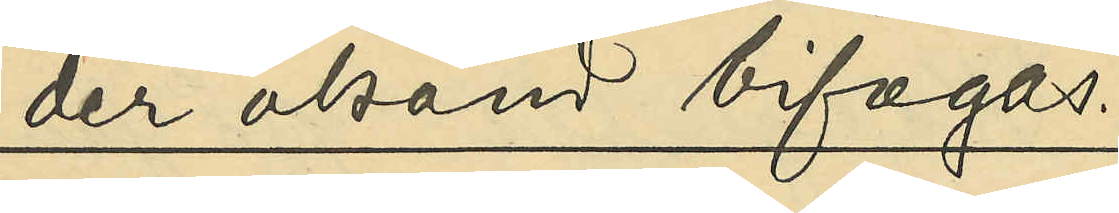der okänd bifogas.
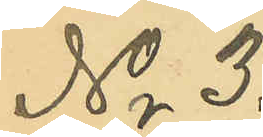No 3.
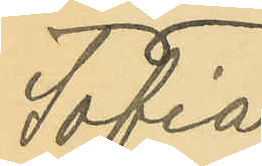Sofia
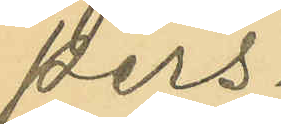Pers¬
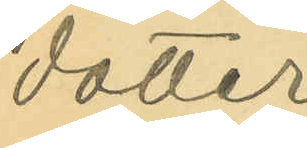dotter
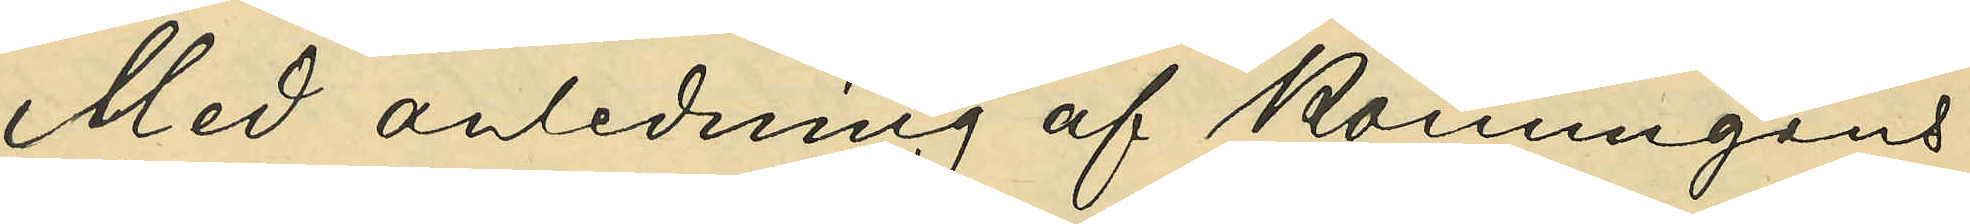Med anledning af Konungens
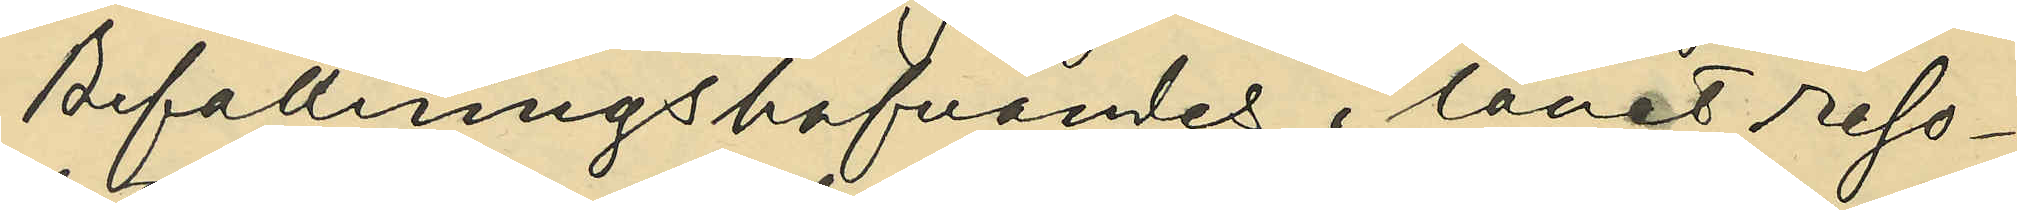Befallningshafvandes i länet reso¬
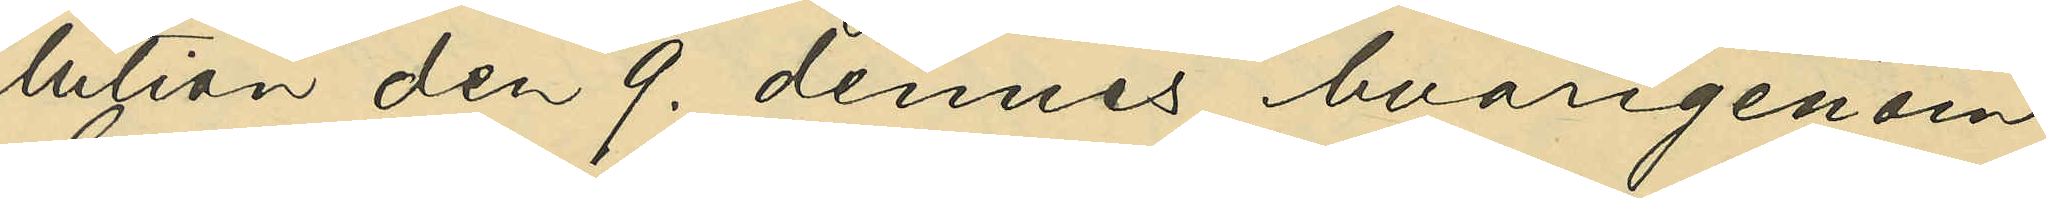lution af den 9. dennes, hvarigenom
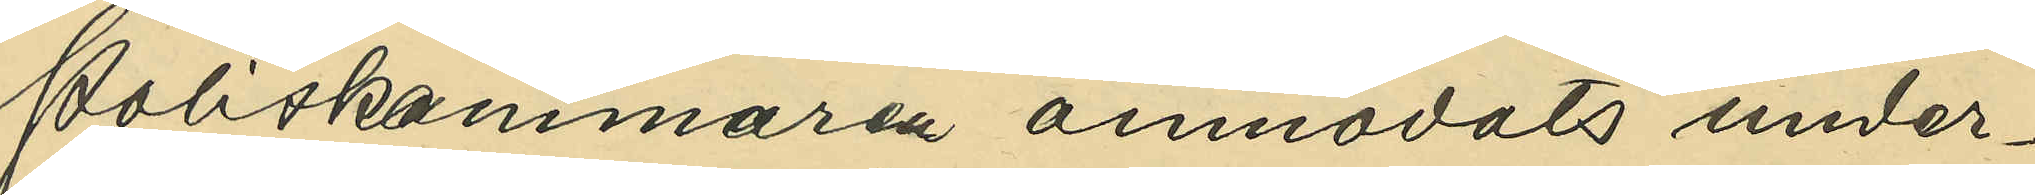Poliskammaren anmodats under¬
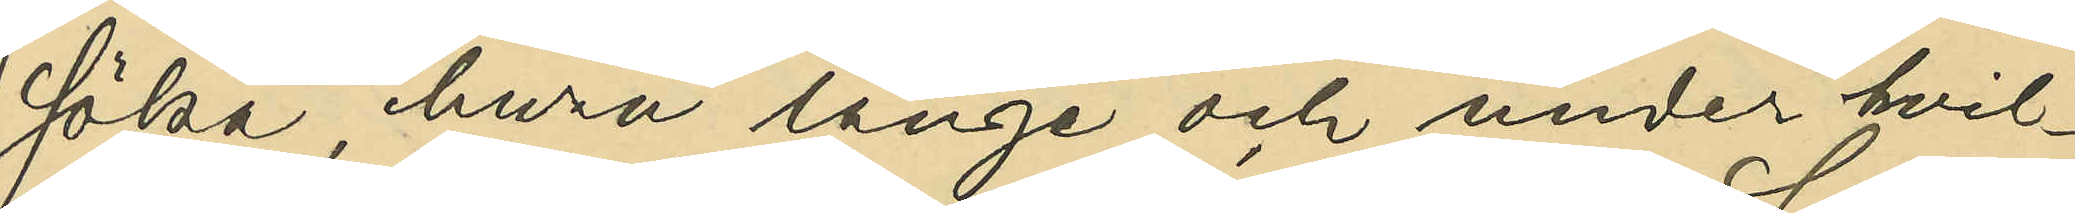söka, huru länge och under hvil¬
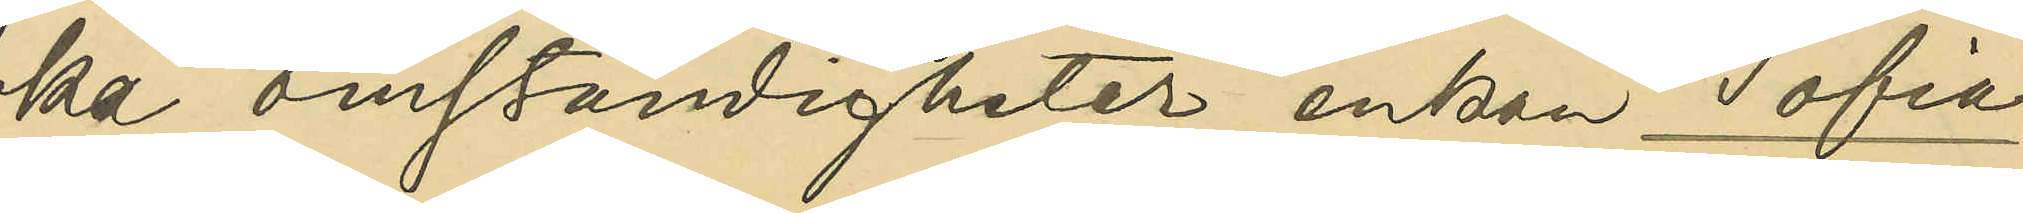ka omständigheter enkan Sofia
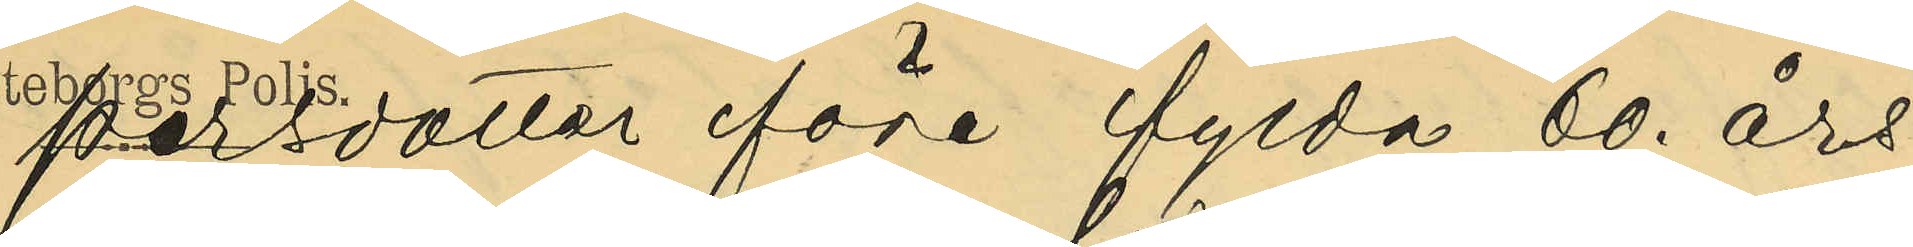Persdotter före fylda 60. års
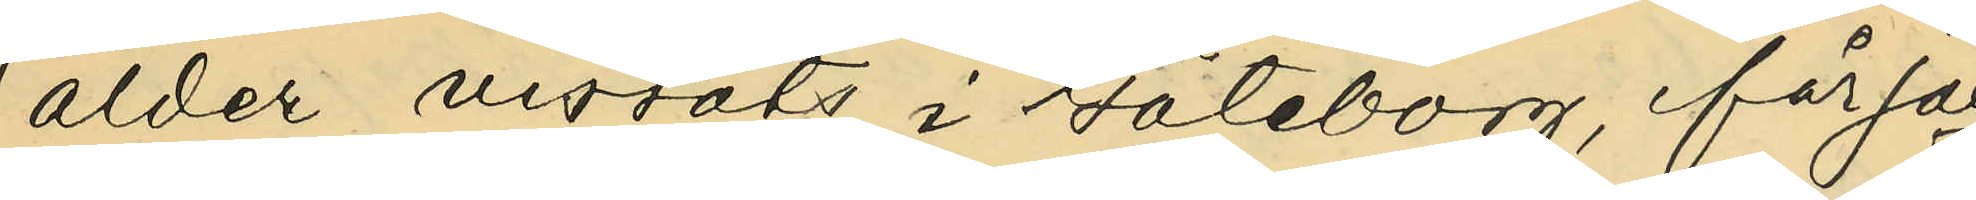ålder vistats i Göteborg, får jag
